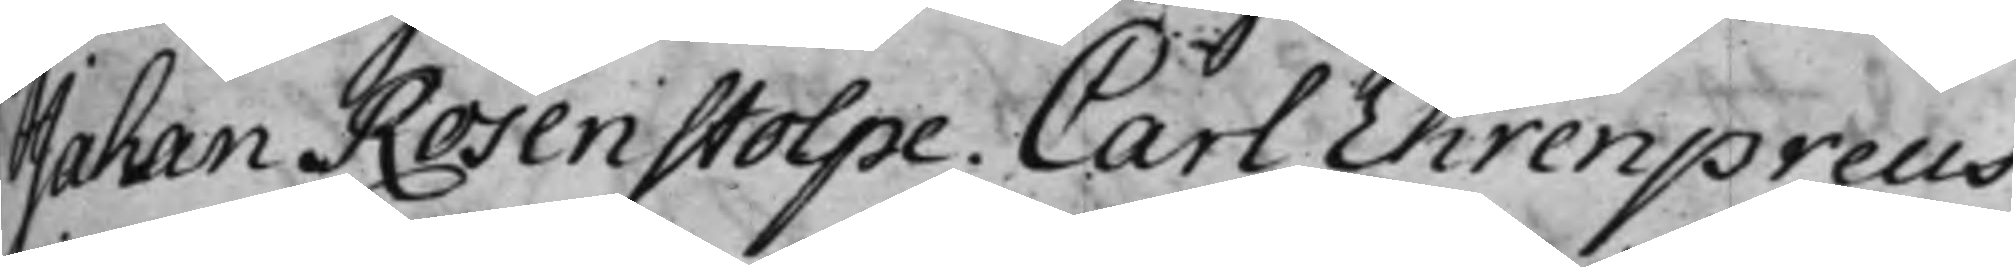Johan Rosenstolpe. Carl Ehrenpreus.
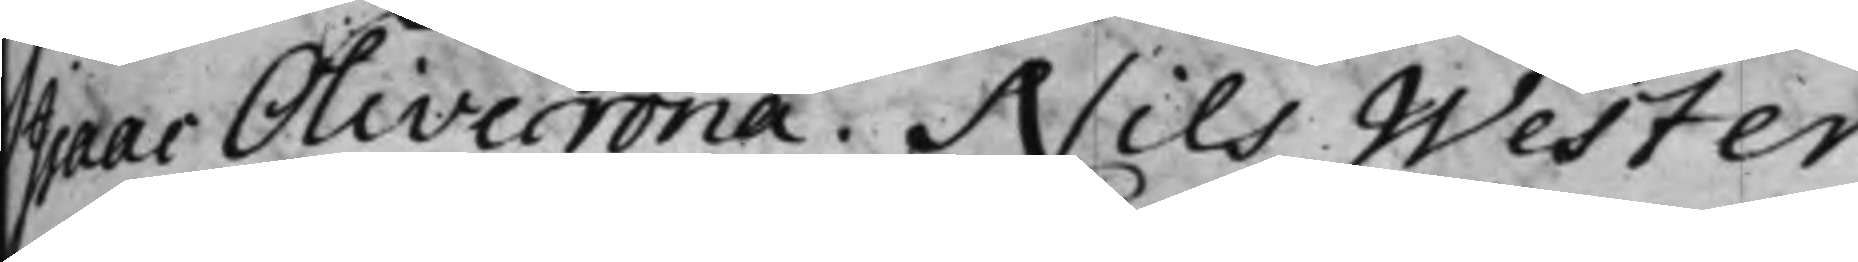Isaac Olivecrona, Nils Wester.
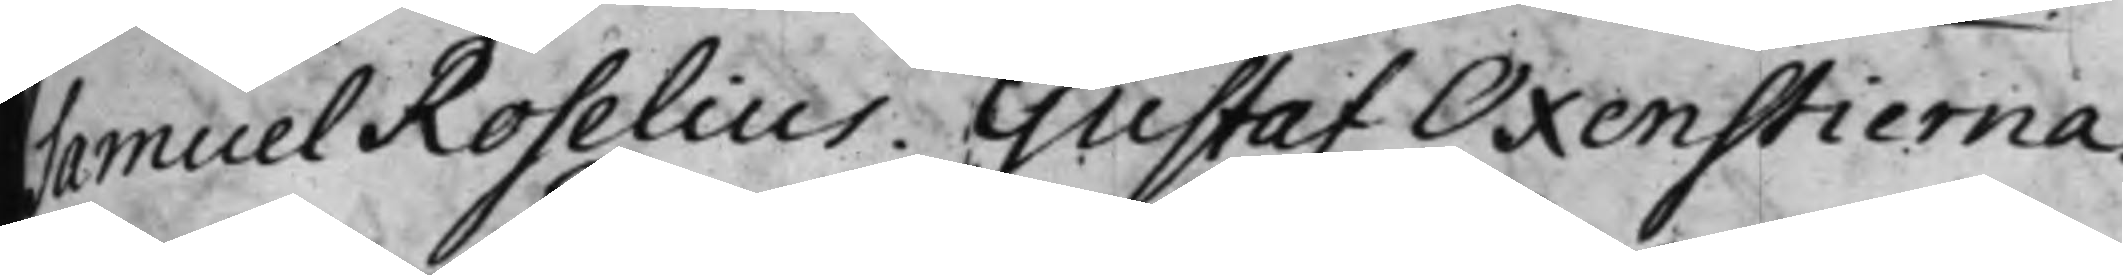Samuel Roselius. Gustaf Oxenstierna.
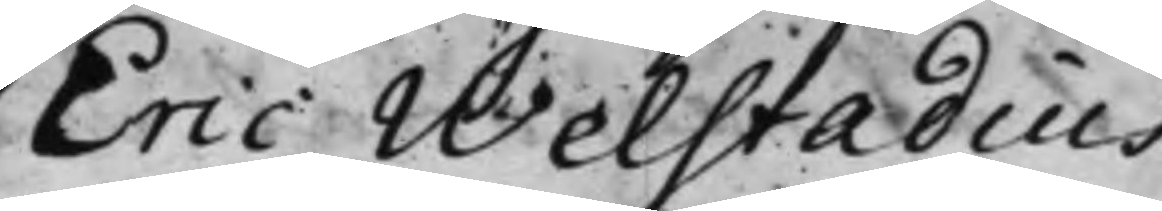Eric Welstadius.
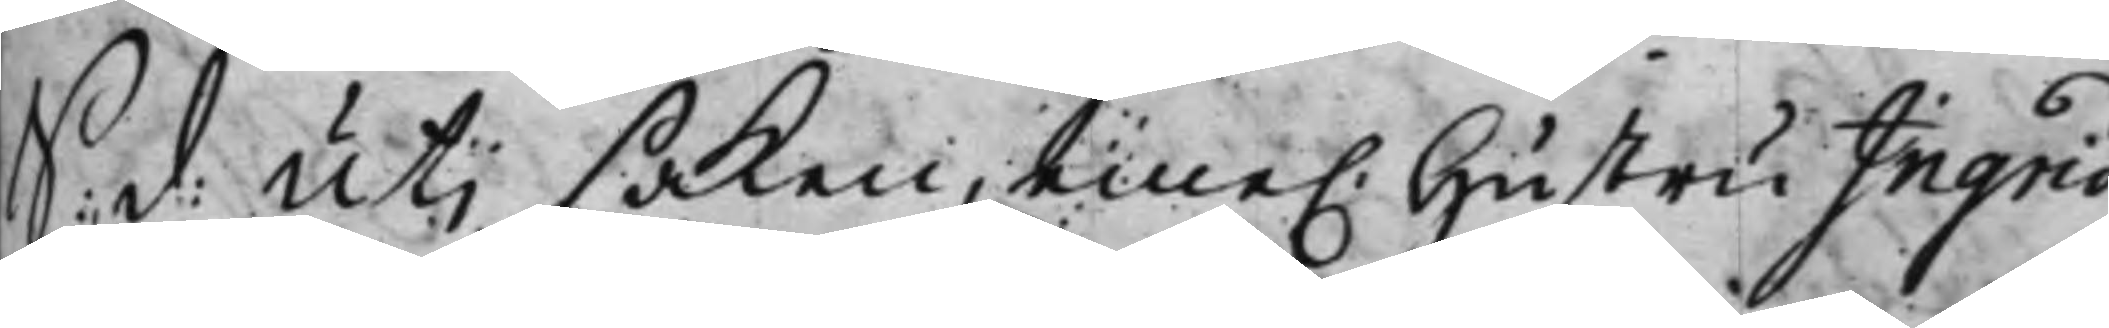S: d: Uti saken, eme. Hustru Ingrid
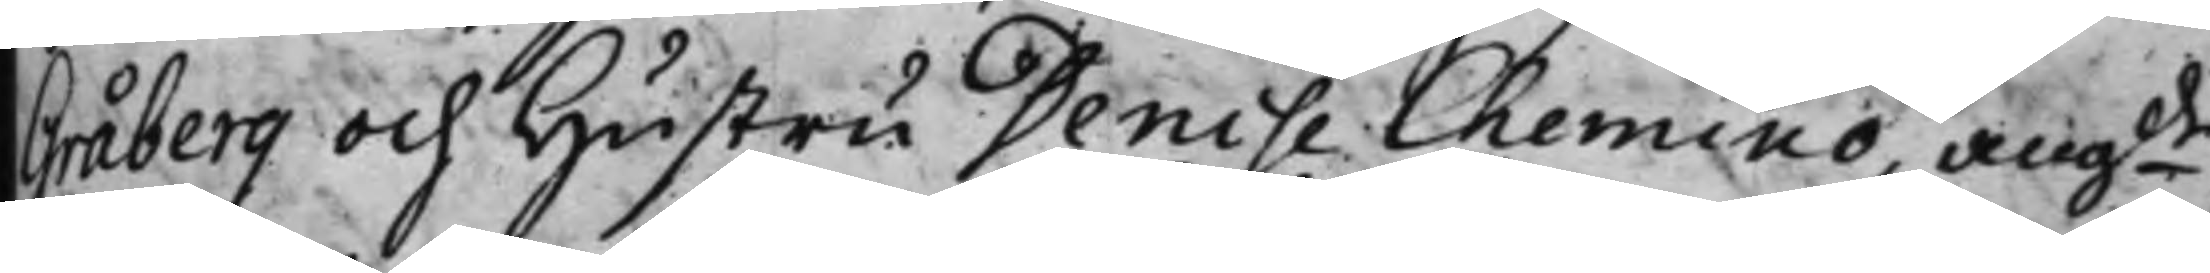Gråberg och Hustru Dense Chemino, angde
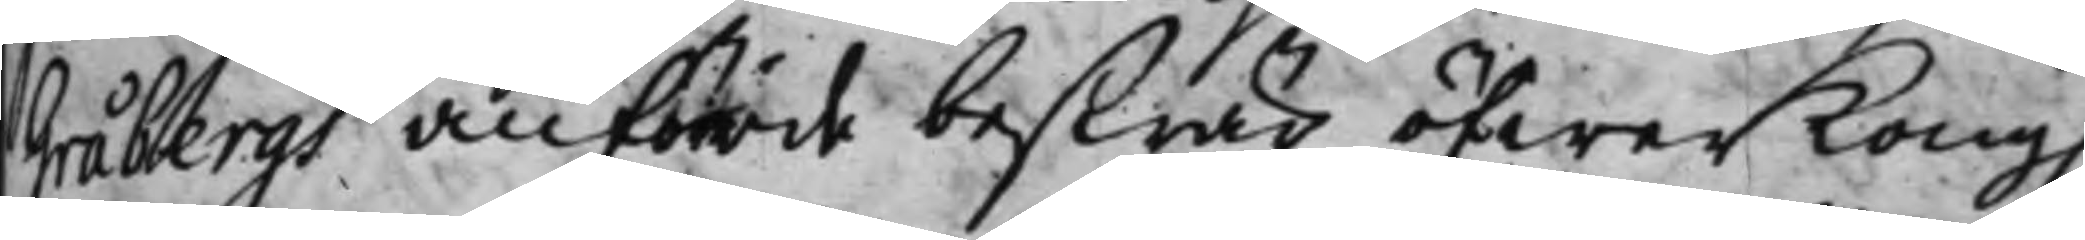Gråbergs anförde beswär öfwer Kong.
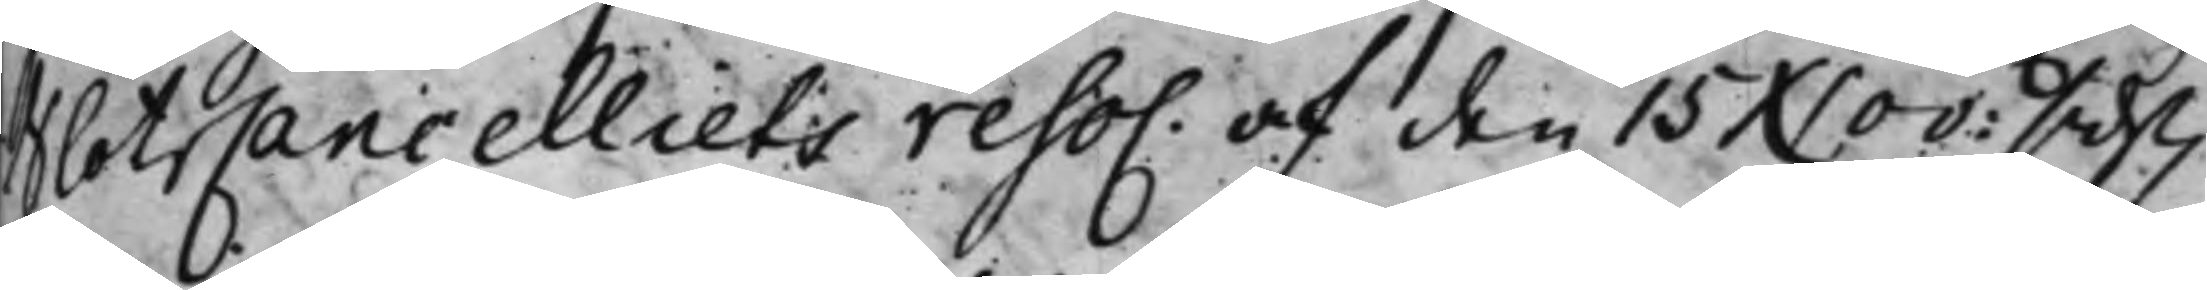SlottzCancelliets reso. af den 15 Nov: sids
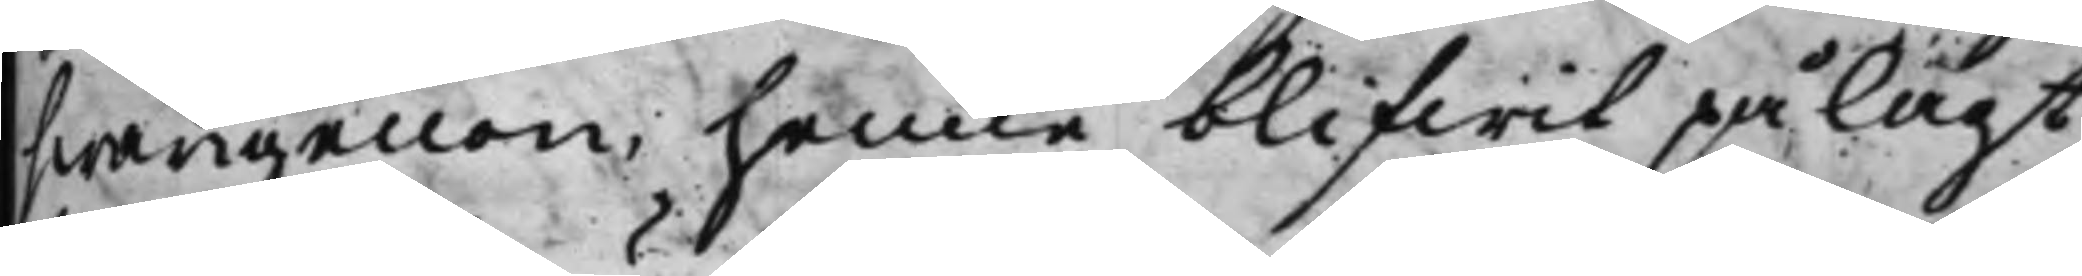hwarigenom henne blifwit pålagt
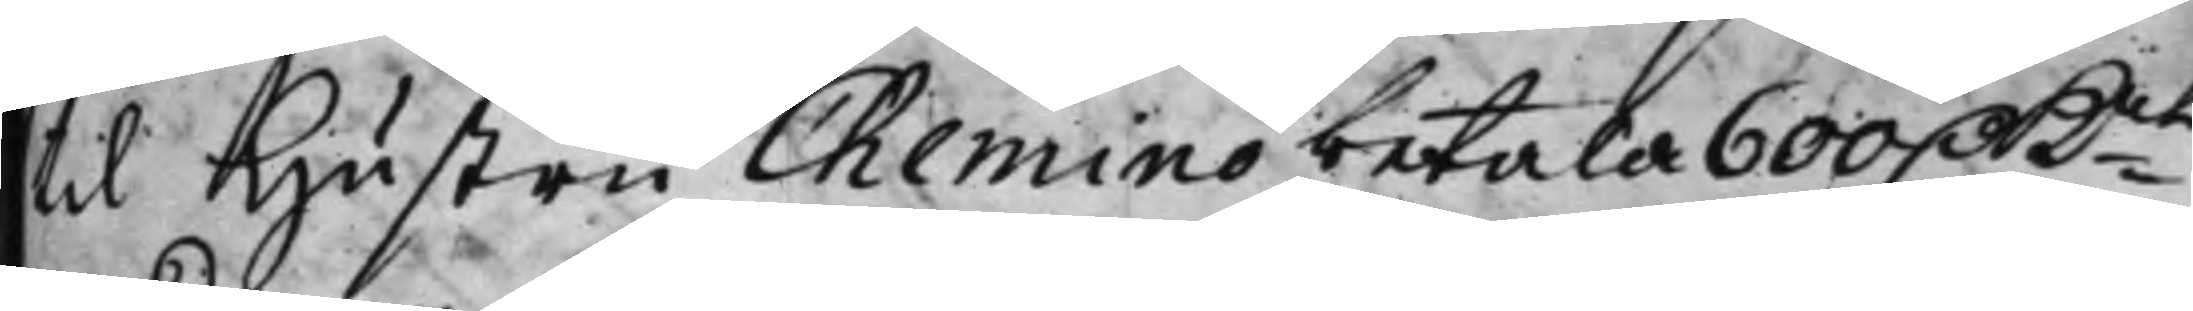till Hustru Chemino betala 600 D Kmt
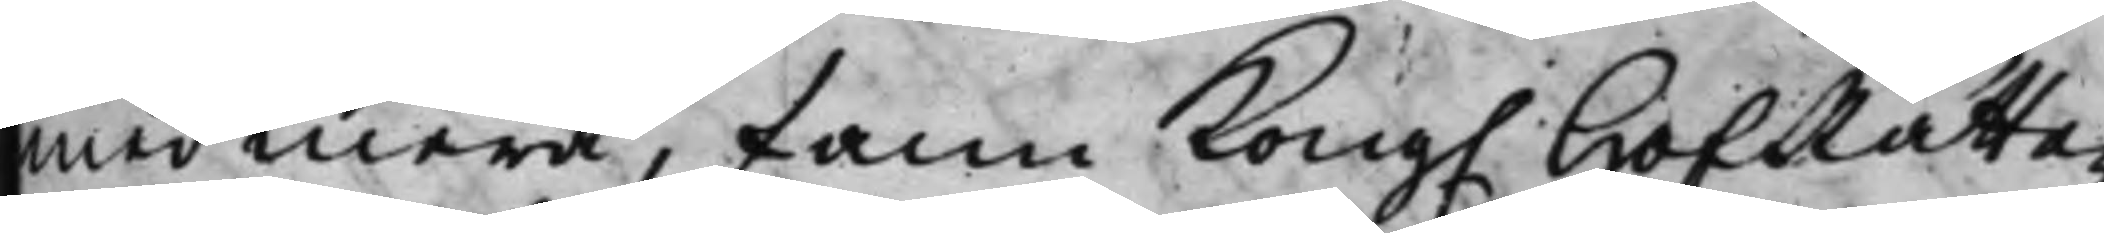med mera, fann Kong. HofRätten
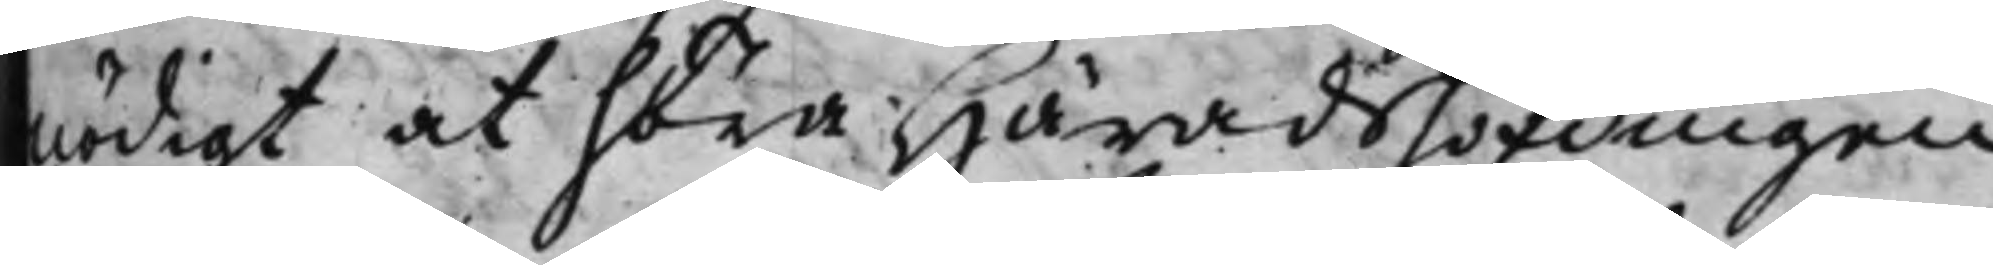nödigt at höra Häradshöfdingen
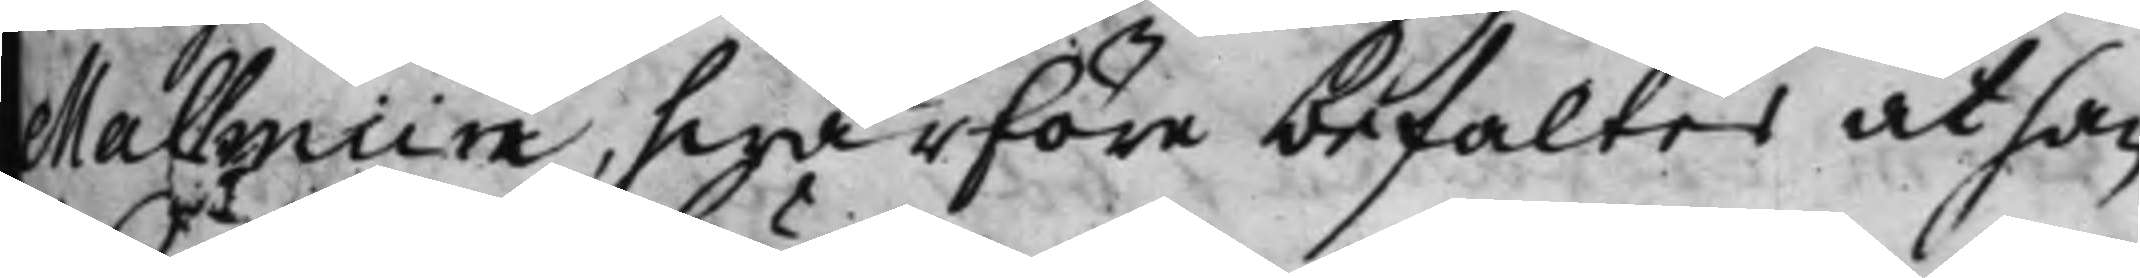Mallmiin, hwarföre befaltes att han
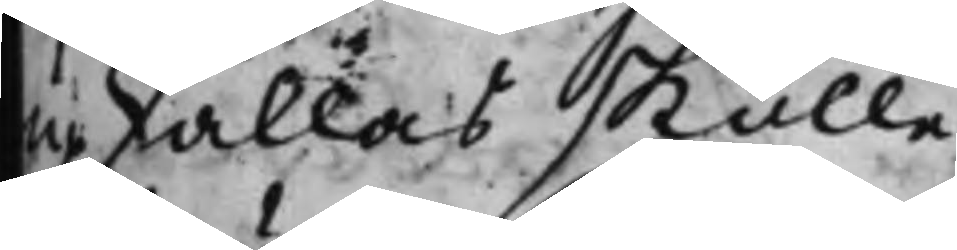upkallas skulle.
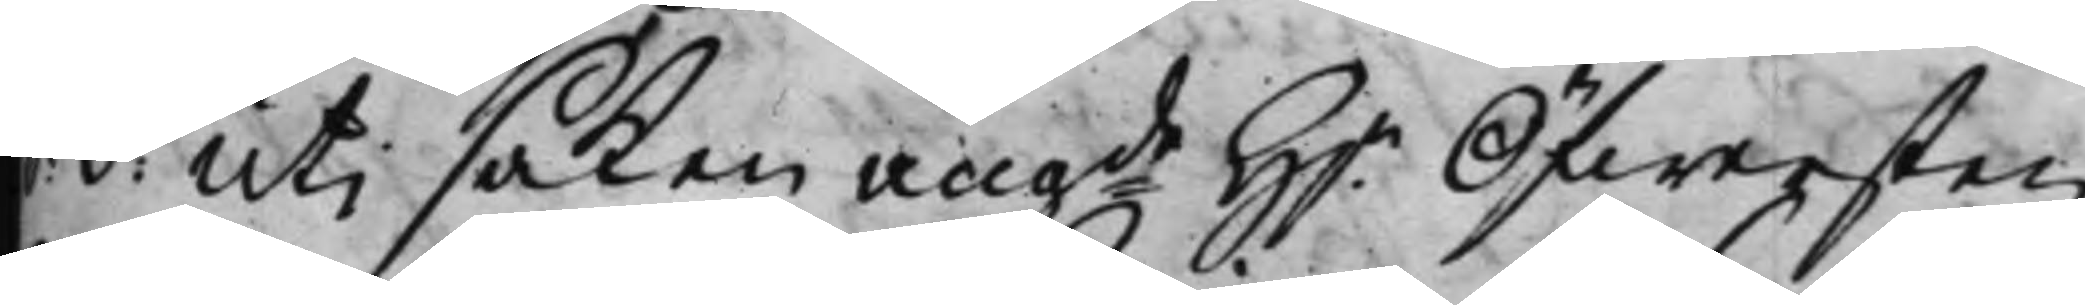S. d. Uti saken angde H.r Öfwersten
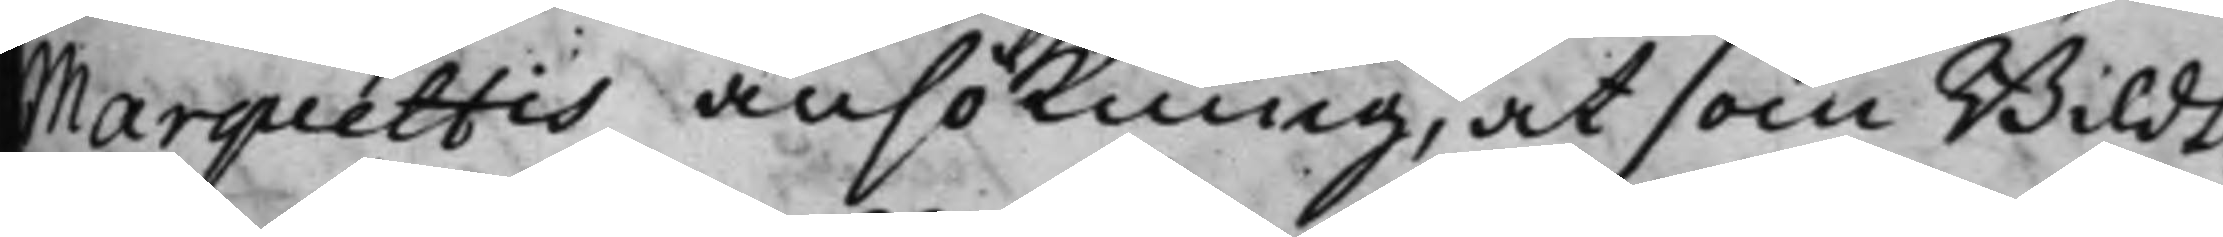Marquettis ansökning, at som Bildt¬
